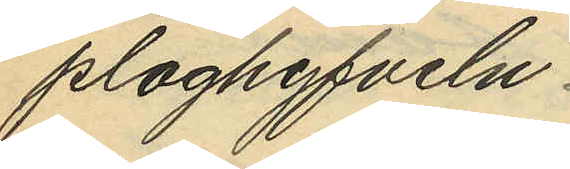ploghyfveln
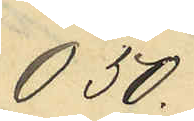0,50
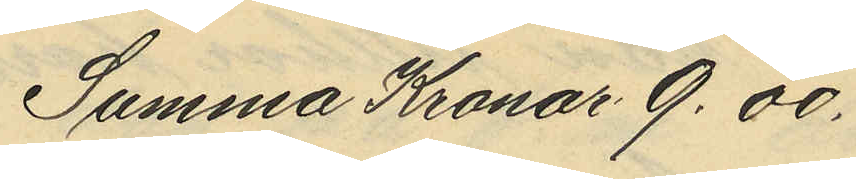Summa Kronor 9.00.
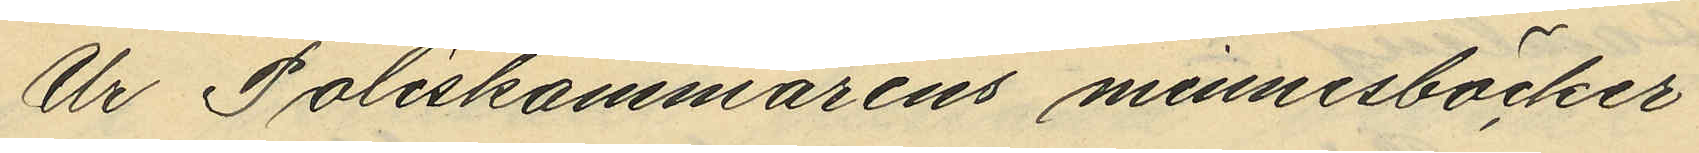Ur Poliskammarens minnesböcker
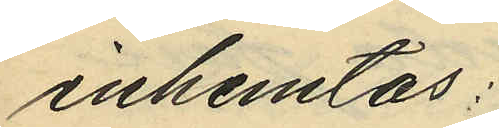inhemtas:
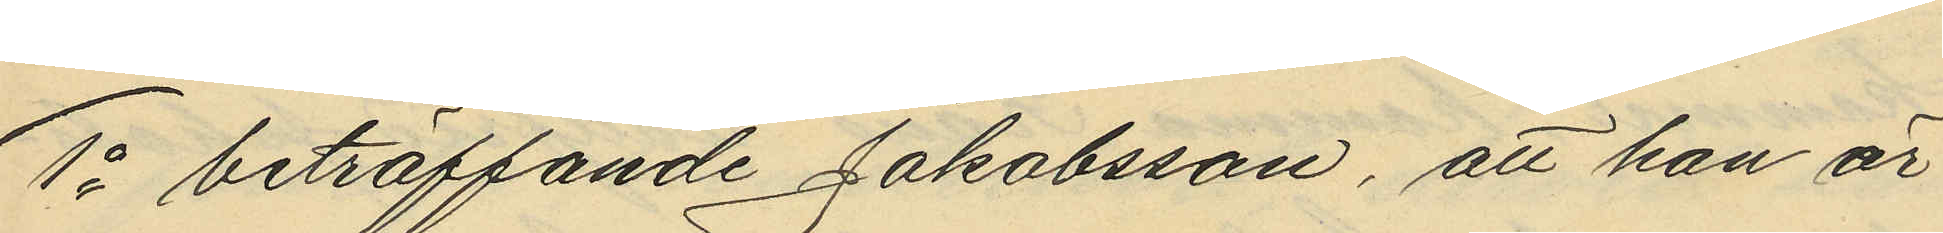1o beträffande Jakobsson, att han är
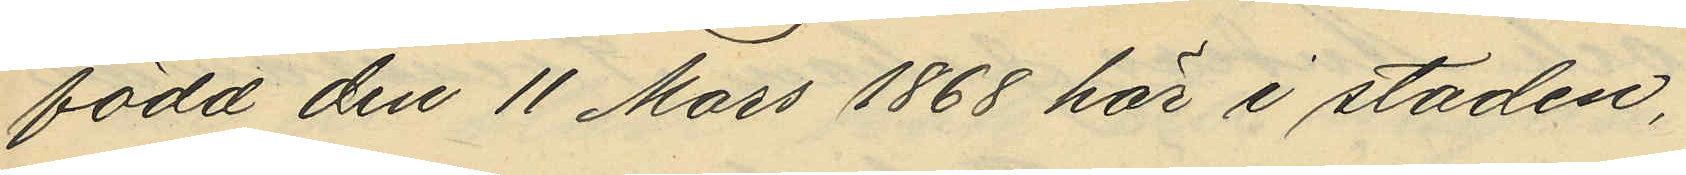född den 11 Mars 1868 här i staden,
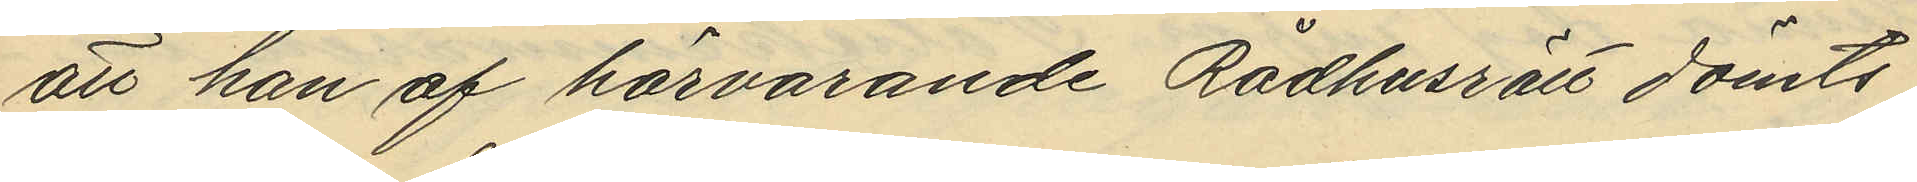att han af härvarande Rådhusrätt dömts
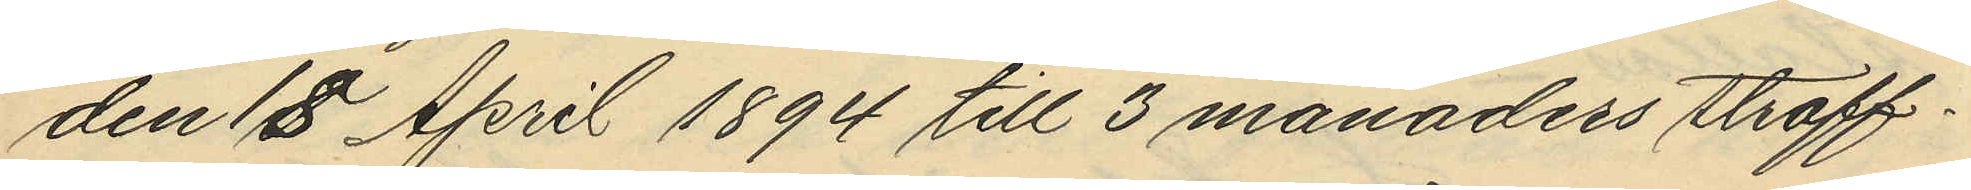den 18 April 1894 till 3 månaders straff¬
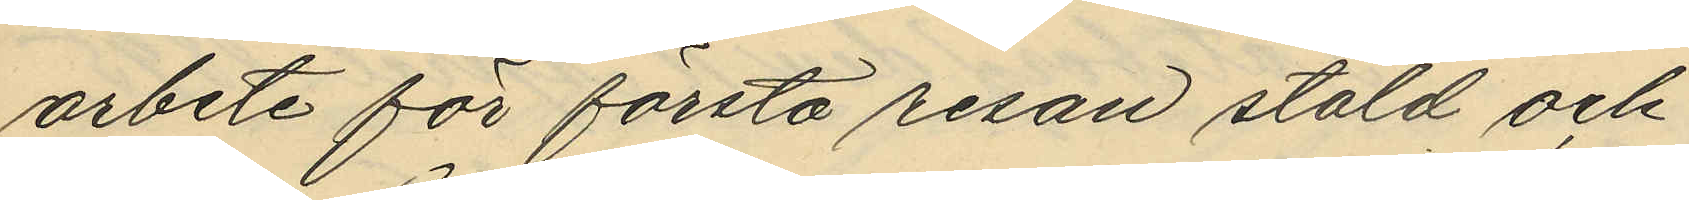arbete för första resan stöld och
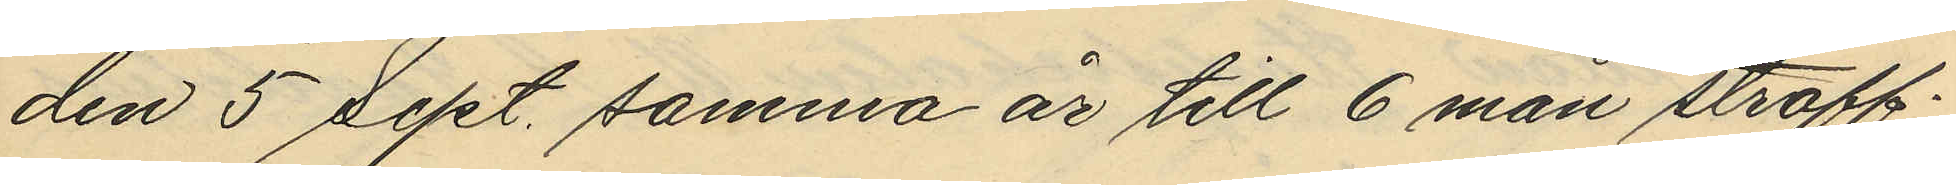den 5 Sept. samma år till 6 mån straff¬
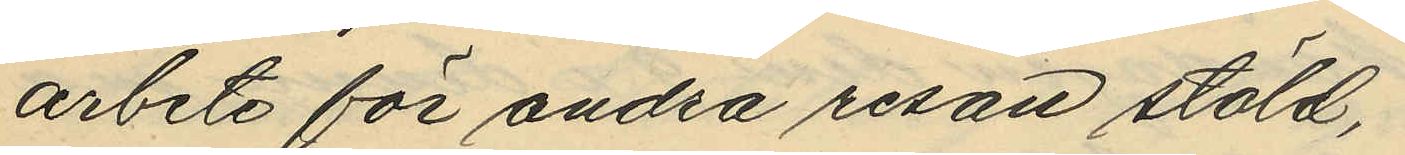arbete för andra resan stöld,
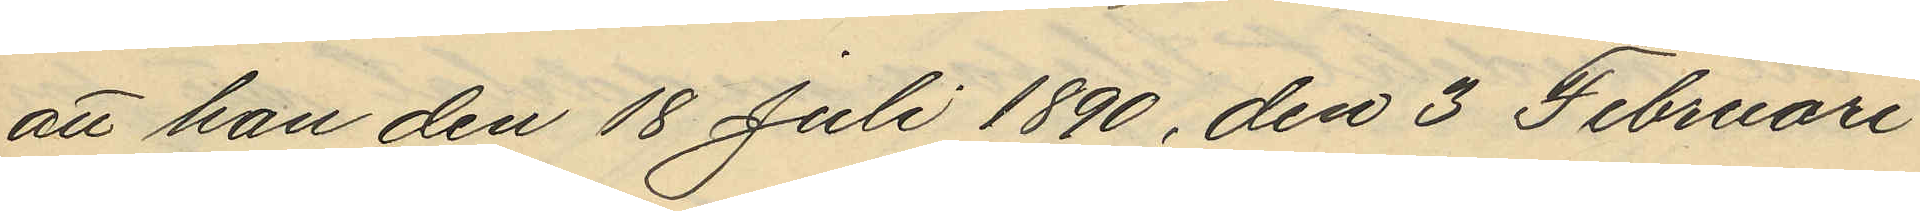att han den 18 Juli 1890, den 3 Februari
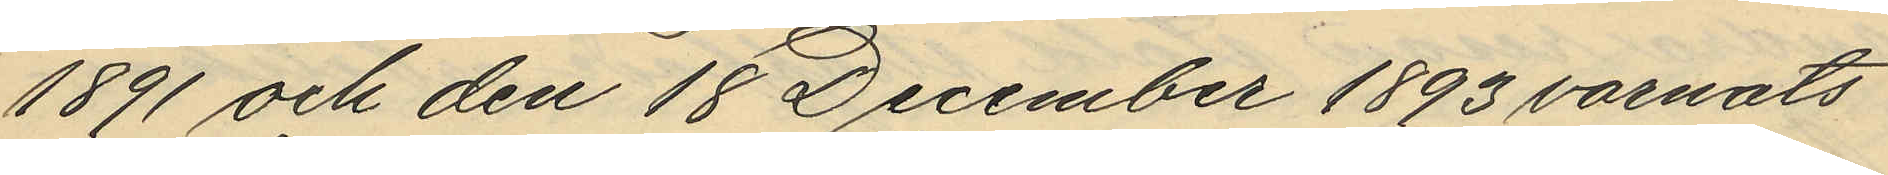1891 och den 18 December 1893 varnats
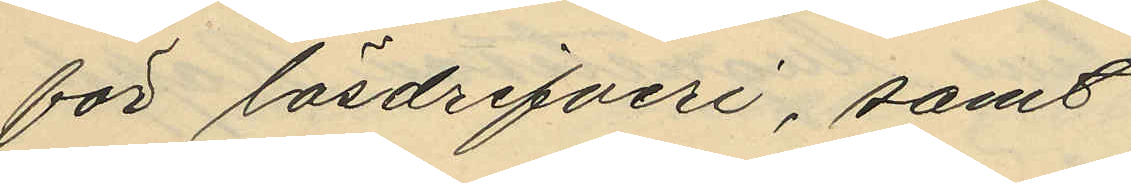för lösdrifveri, samt
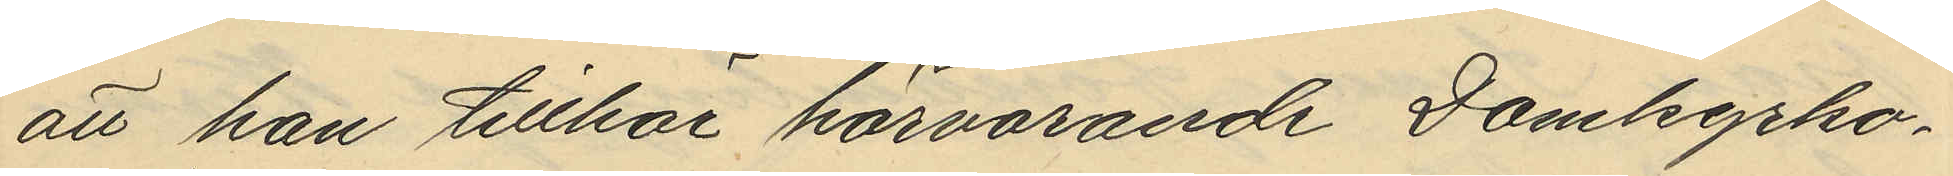att han tillhör härvarande Domkyrko¬
